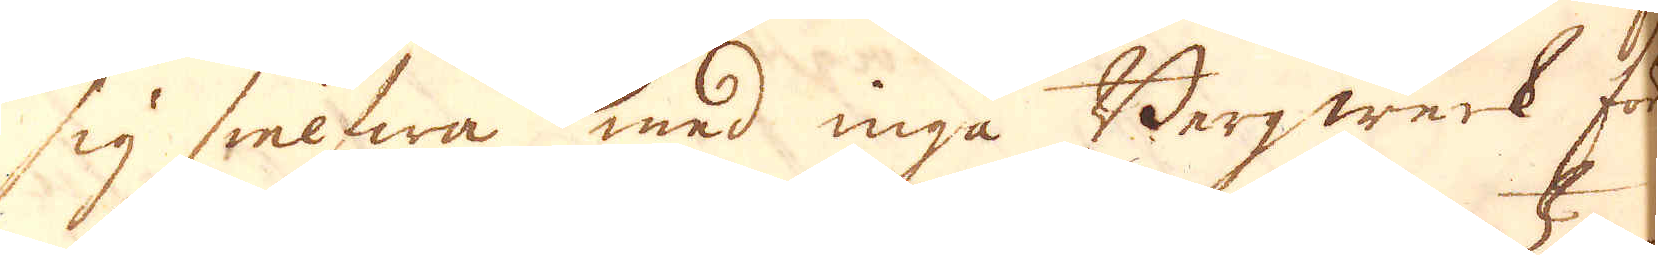sig sielfwa med inga Bergwerk för
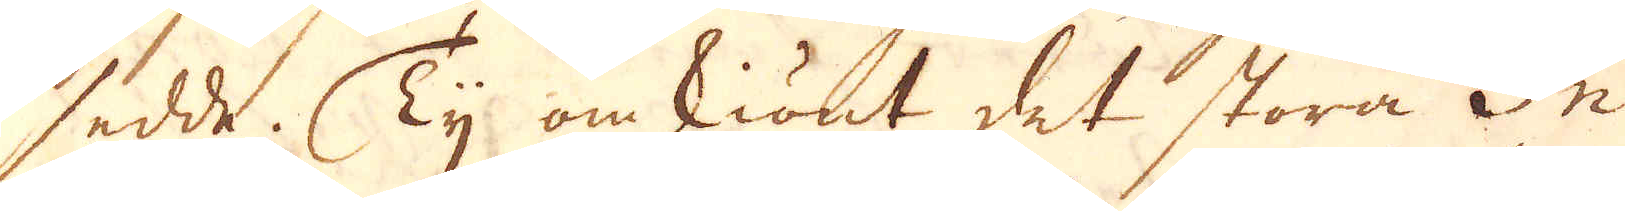sedde. Ty omskiönt det stora In-
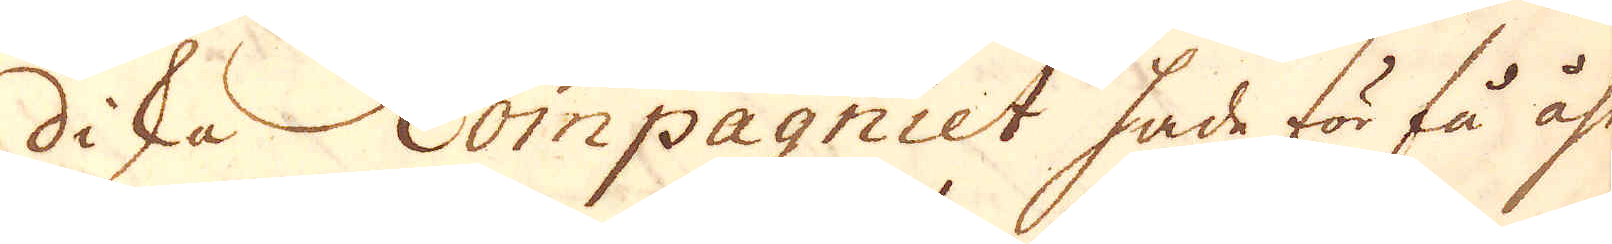dika Compagniet hade för få åhr
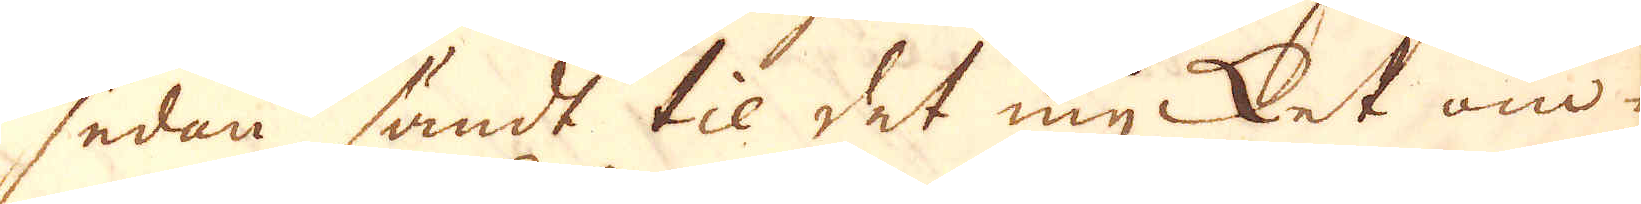sedan sändt til det mycket om-
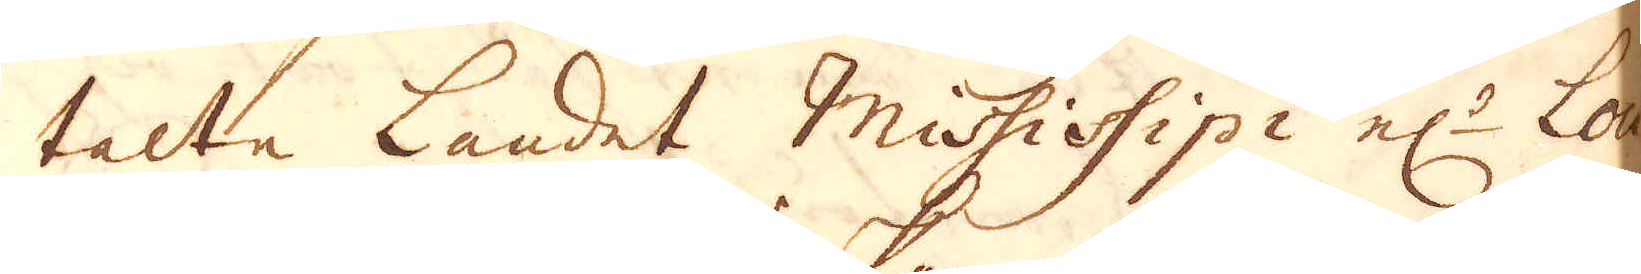talta Landet Mississipi el:r Lou-
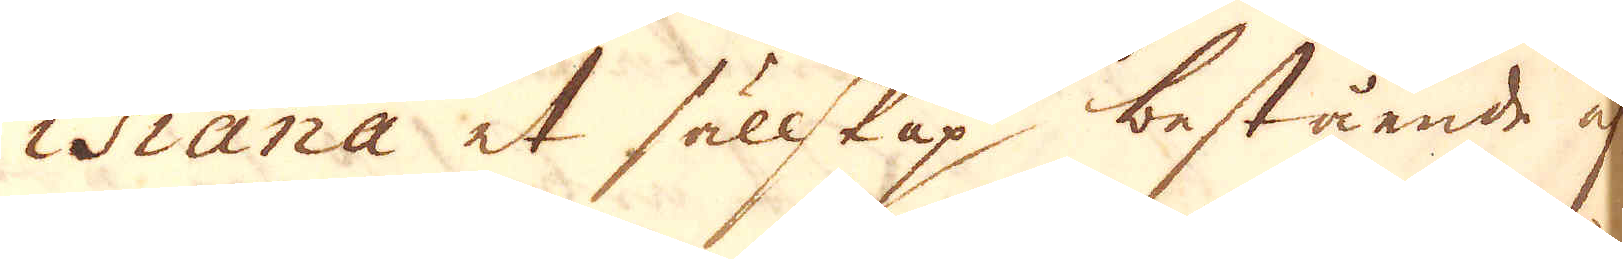isiana et sällkap bestående af
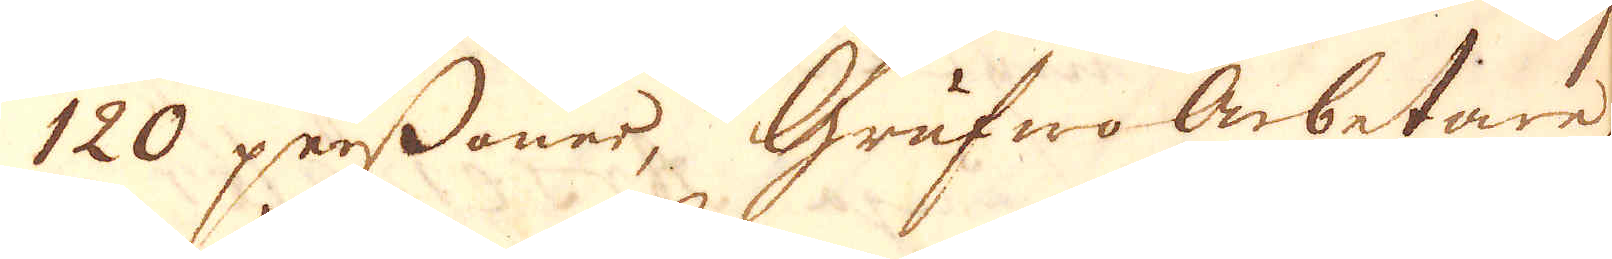120 perssoner, Grufwoarbetare,
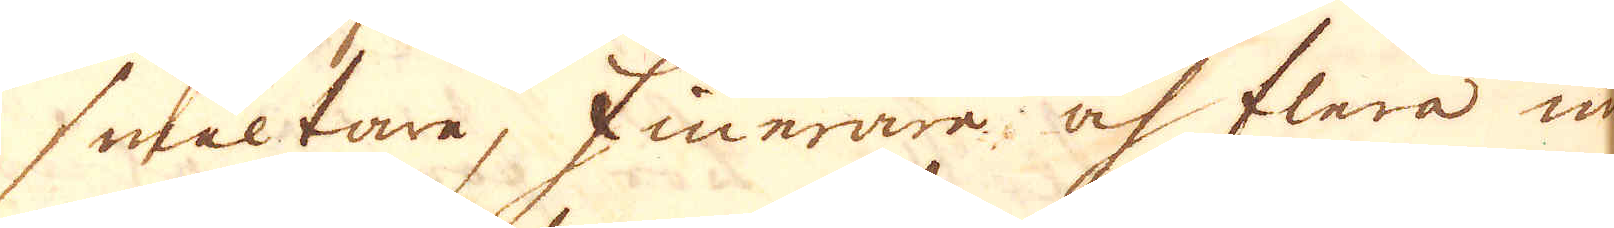smältare, finerare, och flera un-
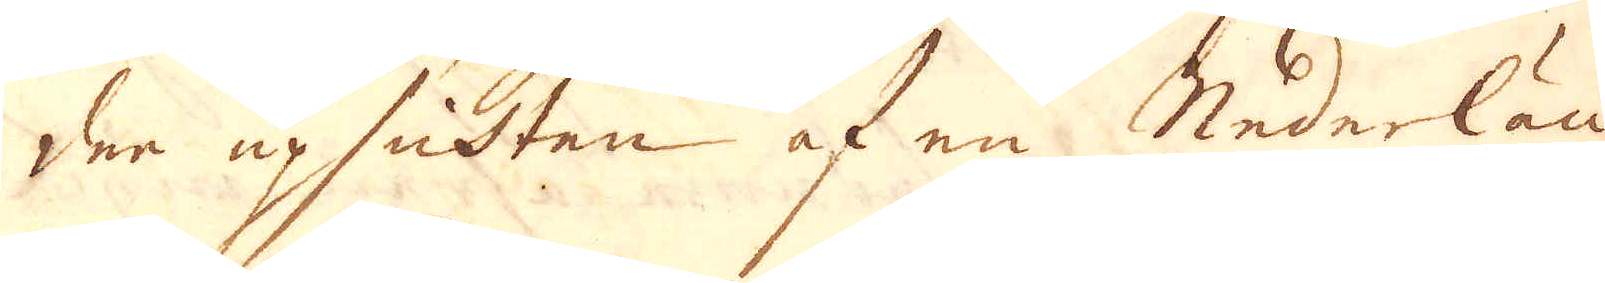der upsichten af en Nederlän-
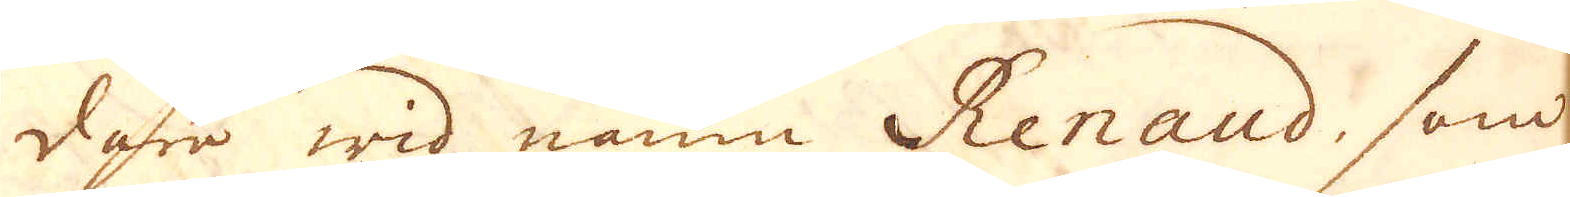dare wid namn Renaud, som
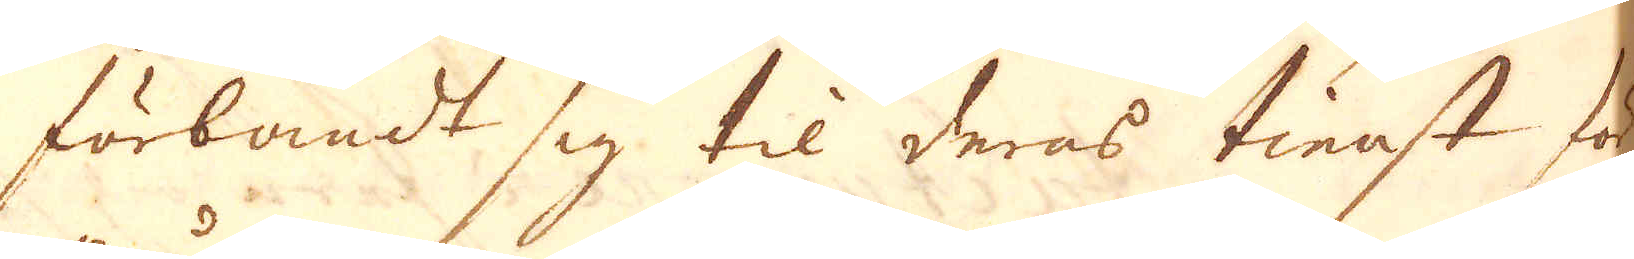förbandt sig til deras tienst för
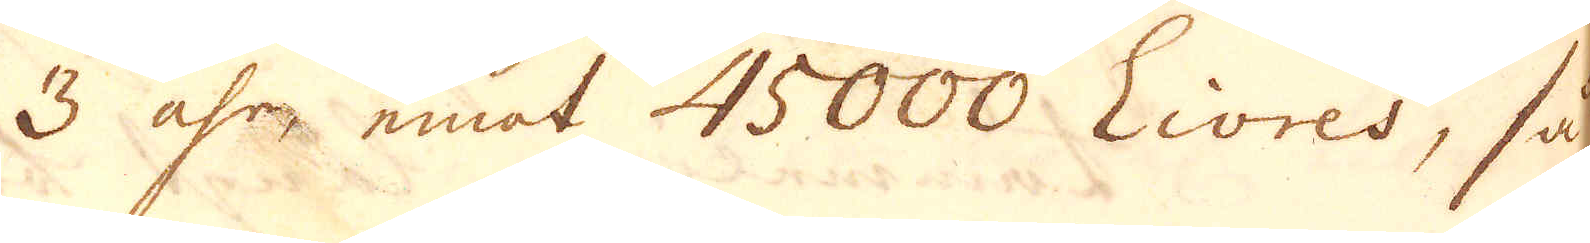3 åhrr emot 45000 Livres, så
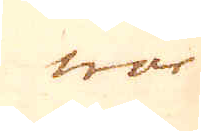war
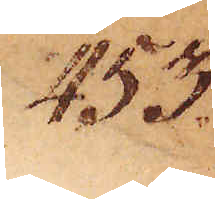453.
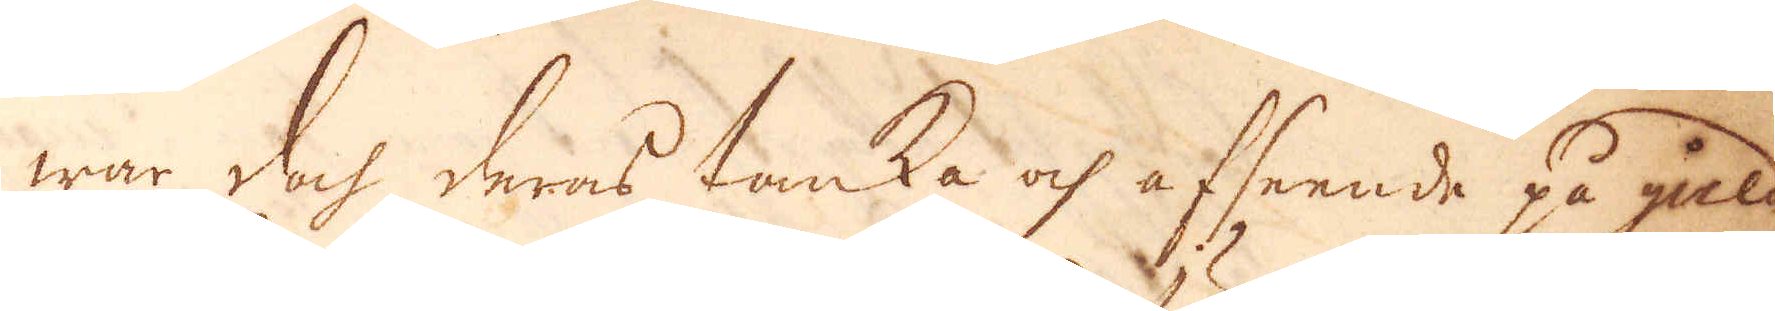war doch deras tanka och afseende på guld
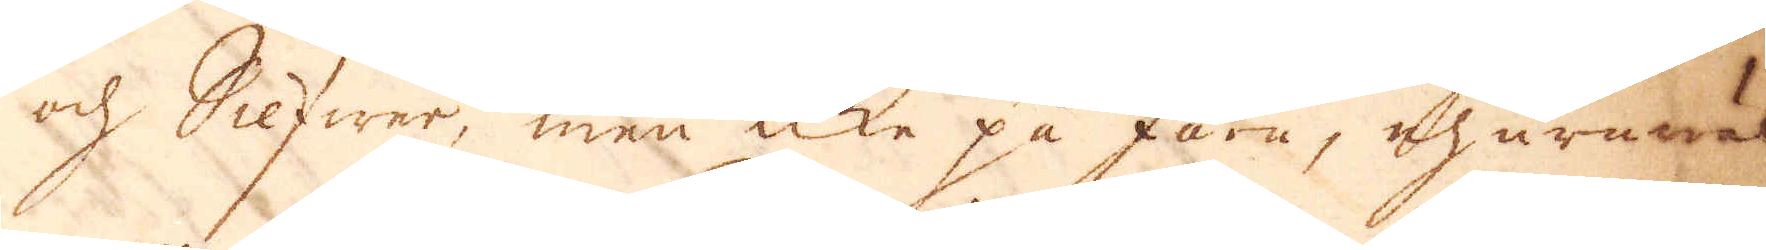och Silfwer, men icke på järn, ehuruwäl
